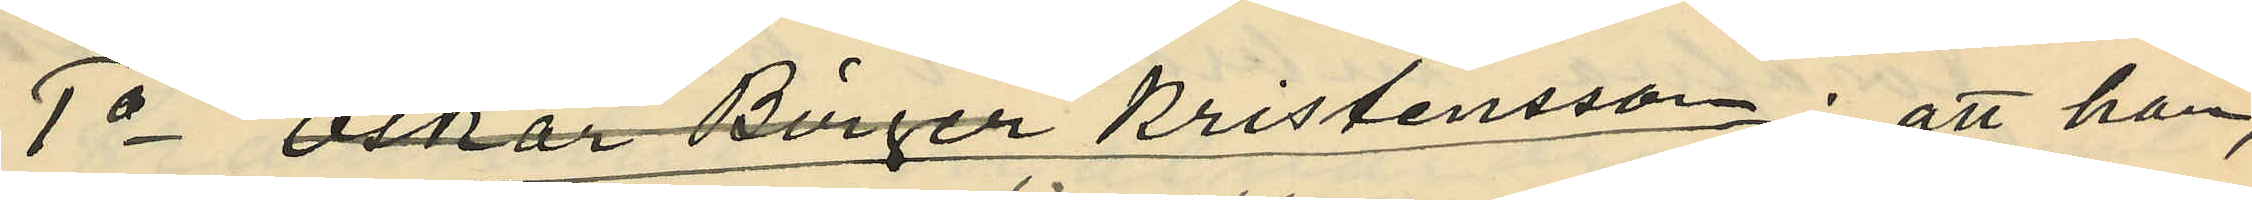1o Oskar Birger Kristensson: att han,
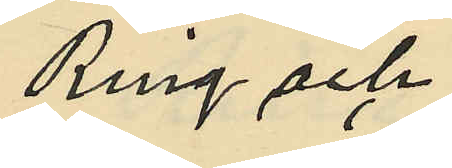Ring och
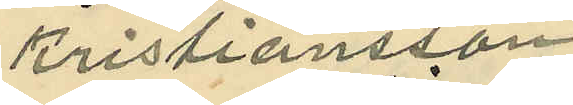Kristiansson
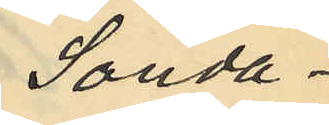Sönda¬
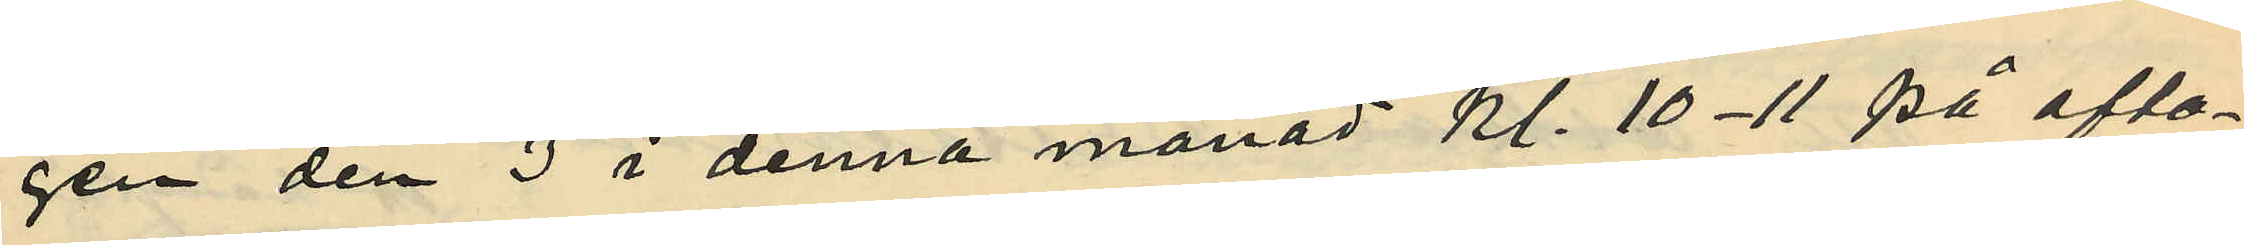gen den 3 i denna månad kl. 10-11 på afto¬
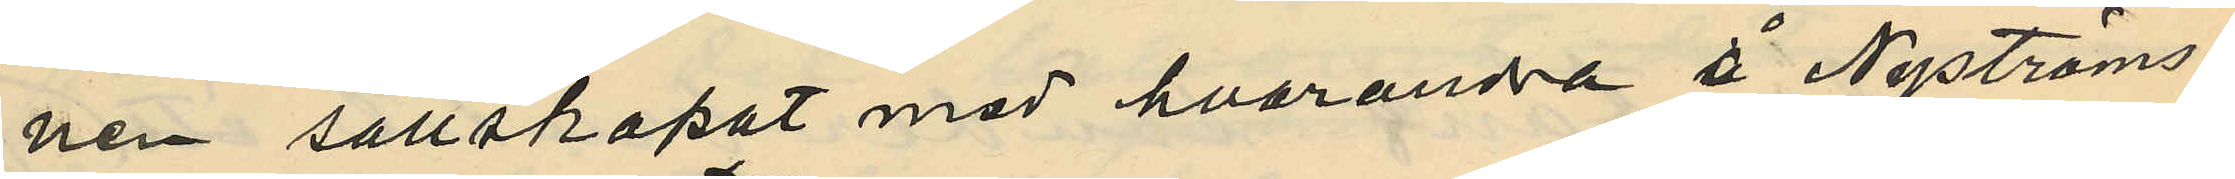nen sällskapat med hvarandra å Nyströms¬
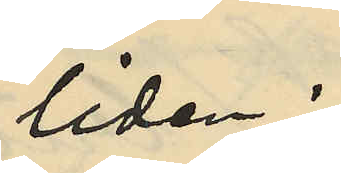liden;
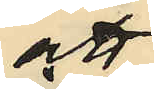att
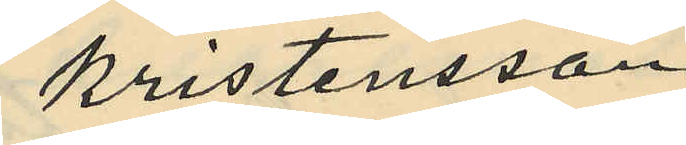Kristensson
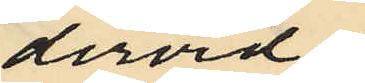dervid
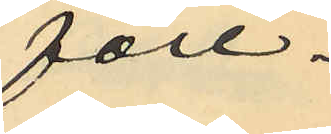före¬
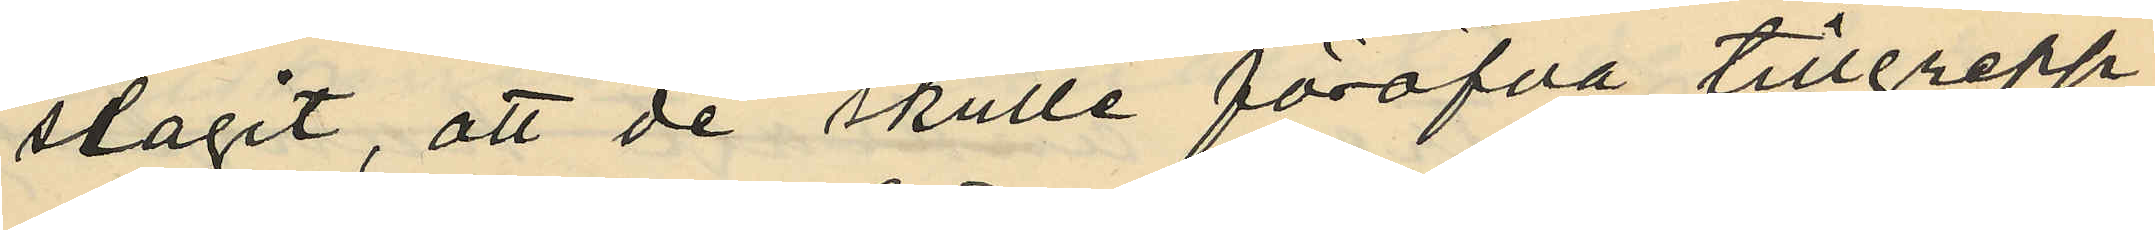slagit, att de skulle föröfva tillgrepp
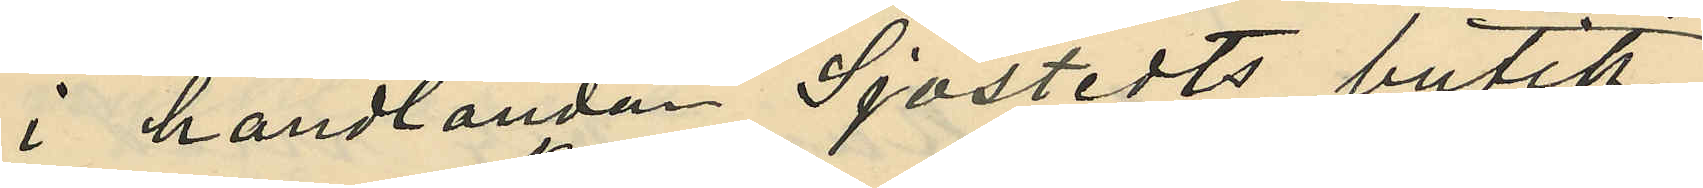i handlanden Sjöstedts butik,
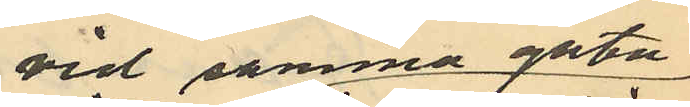vid samma gata
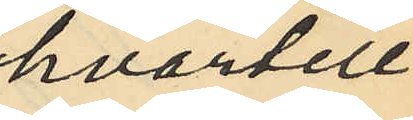hvartill
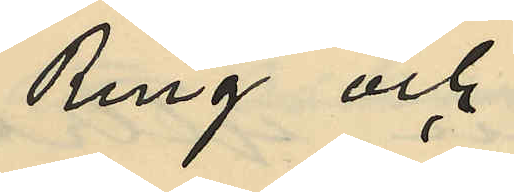Ring och
